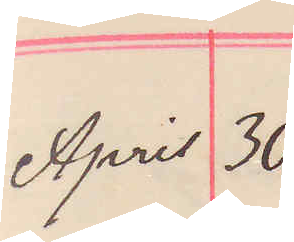April 30
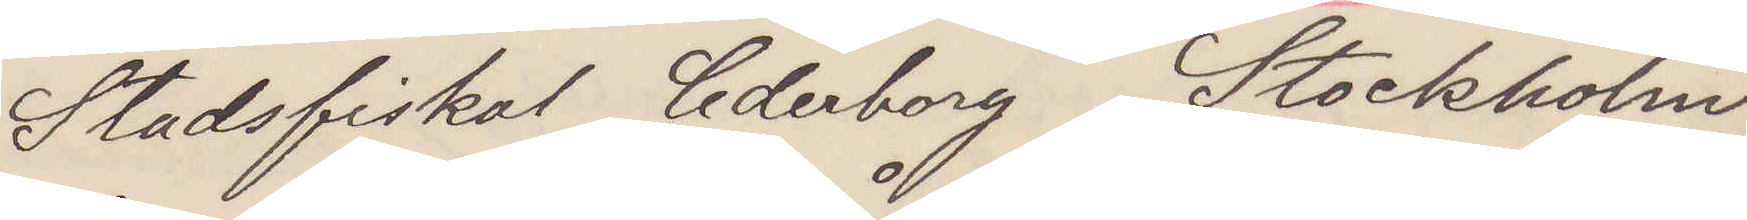Stadsfiskal Cederborg Stockholm
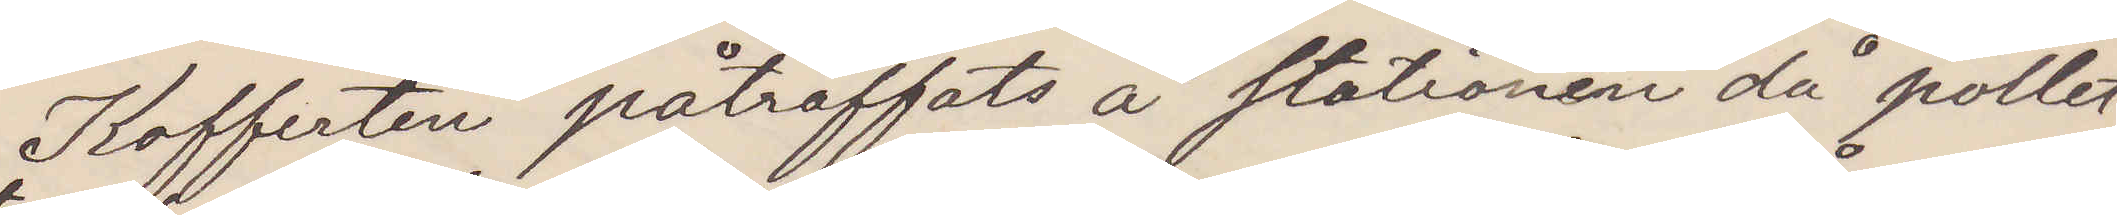Kofferten påträffats å stationen då pollet¬
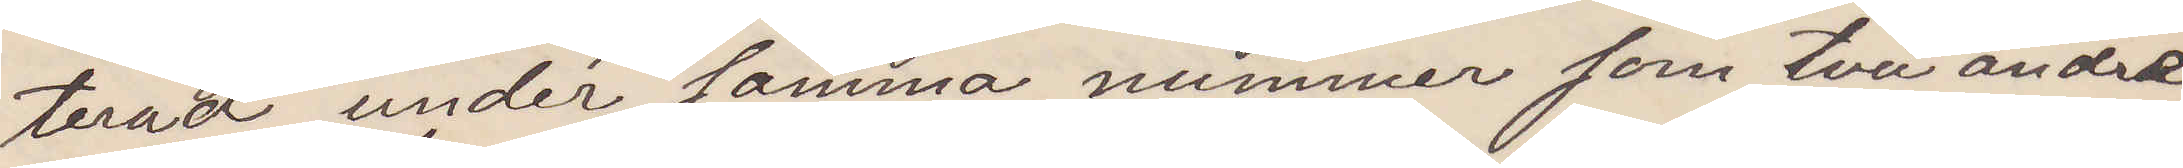teradt under samma nummer som två andre
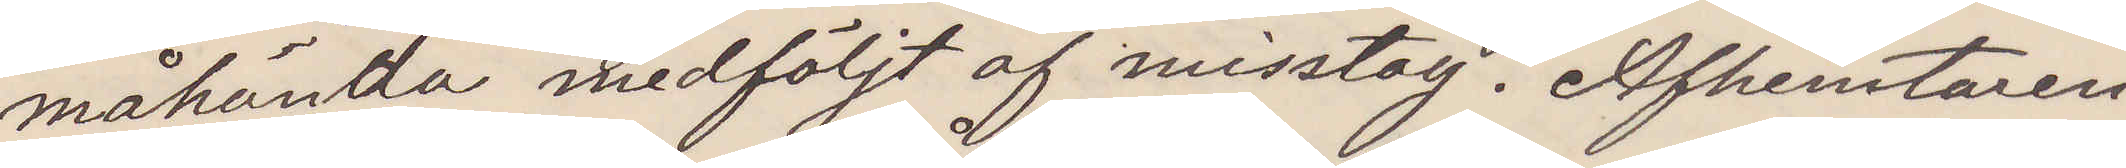måhända medföljt af misstag. Afhemtaren
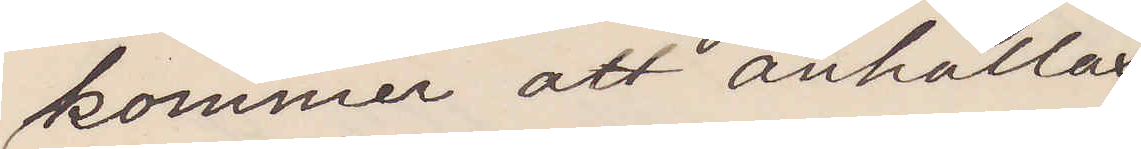kommer att anhållas
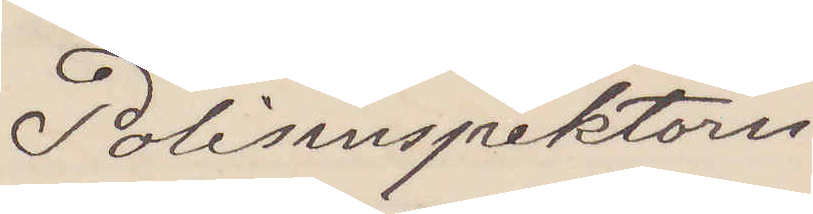Polisinspektorn
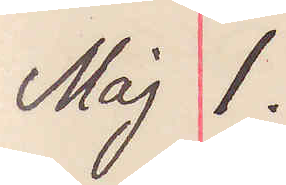Maj 1.
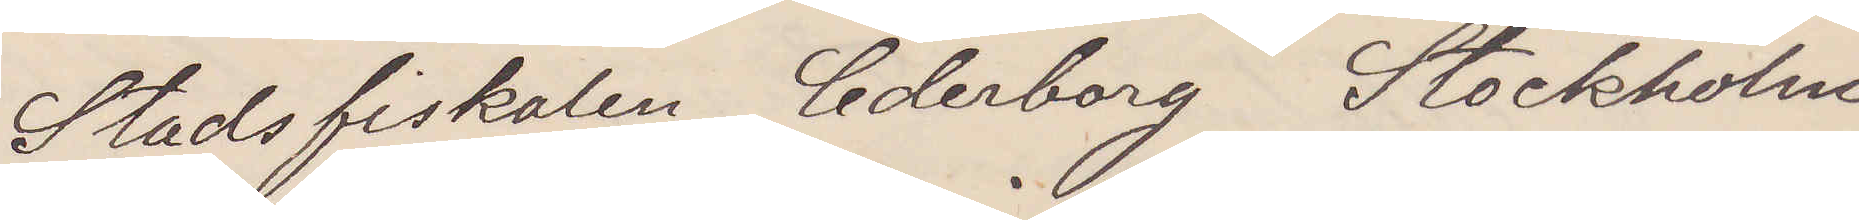Stadsfiskalen Cederborg Stockholm
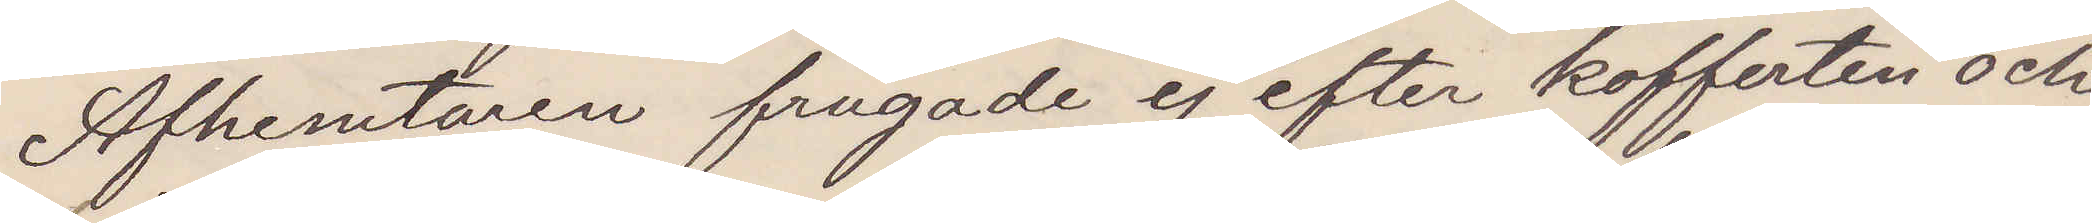Afhemtaren frågade ej efter kofferten och
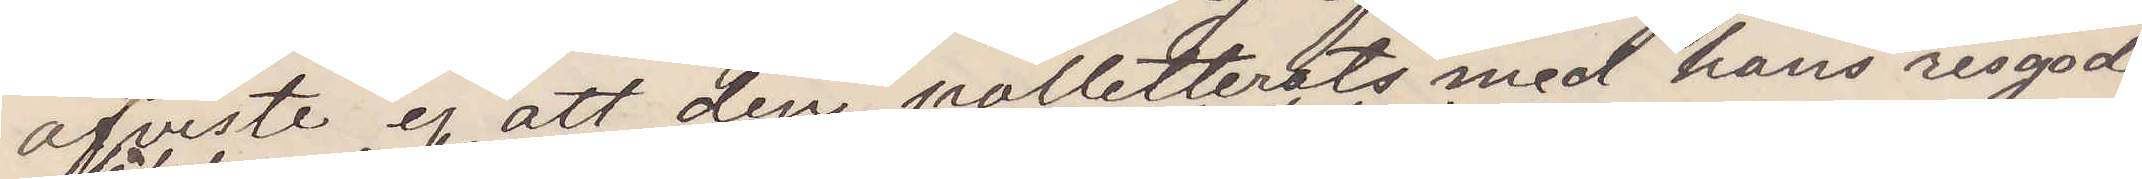afviste ej att den polletereats med hans resgods
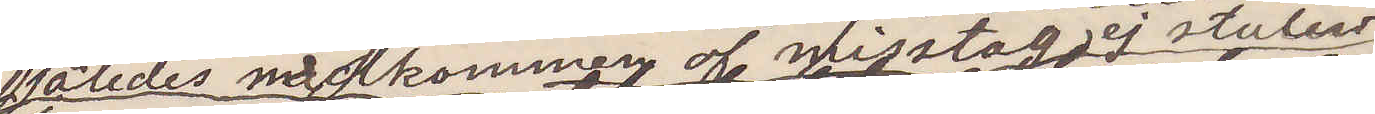således medkommen af misstag ej stulen
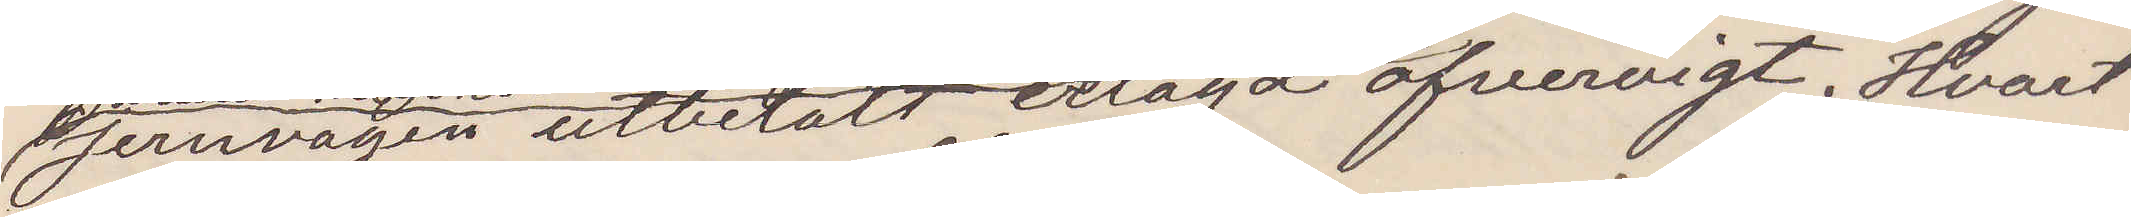Jernvägen utbetalt erlagd ofvervigt. Hvart
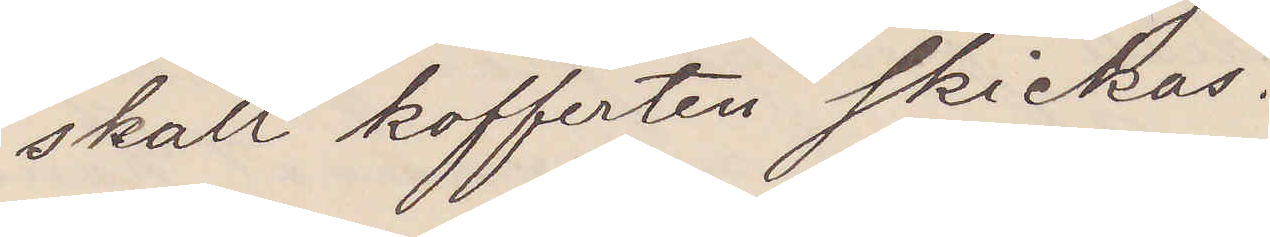skall kofferten skickas.
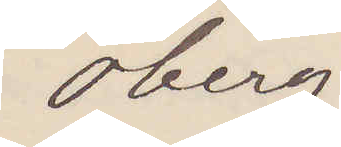Öberg
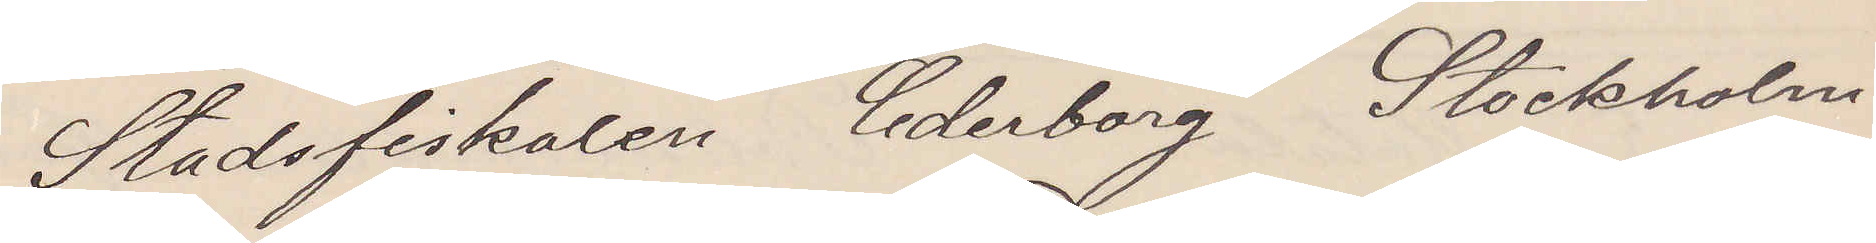Stadsfiskalen Cederborg Stockholm
